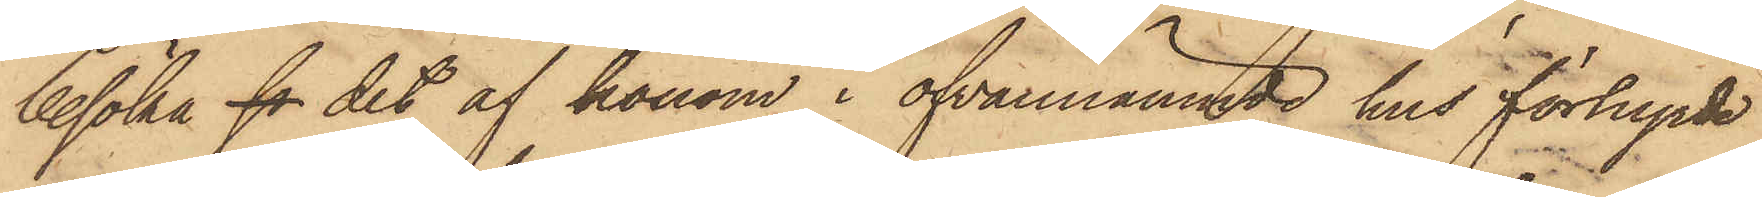besöka fo det af honom i ofvannämnde hus förhyrde
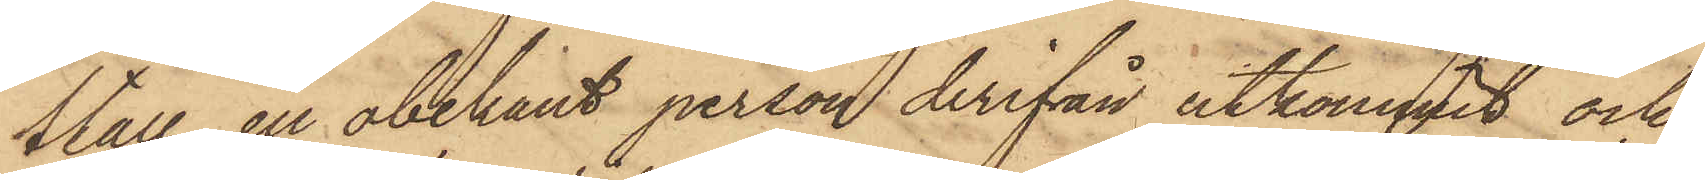Stall, en obekant person derifrån utkommit och
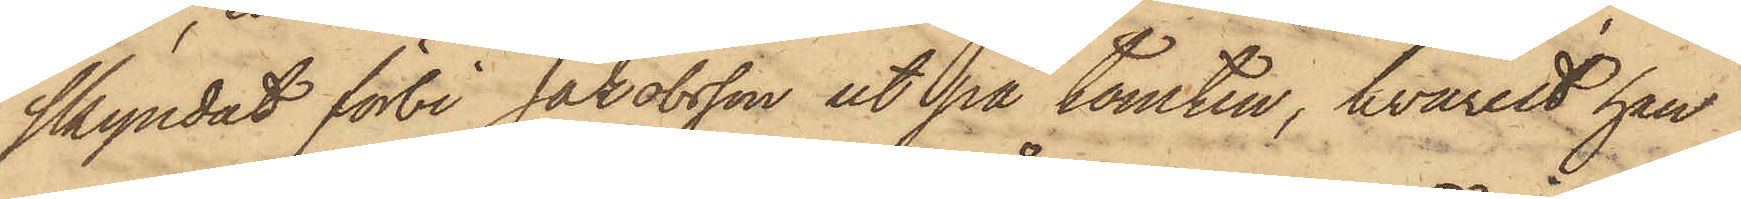skyndat förbi Jakobsson ut på tomten, hvarest han
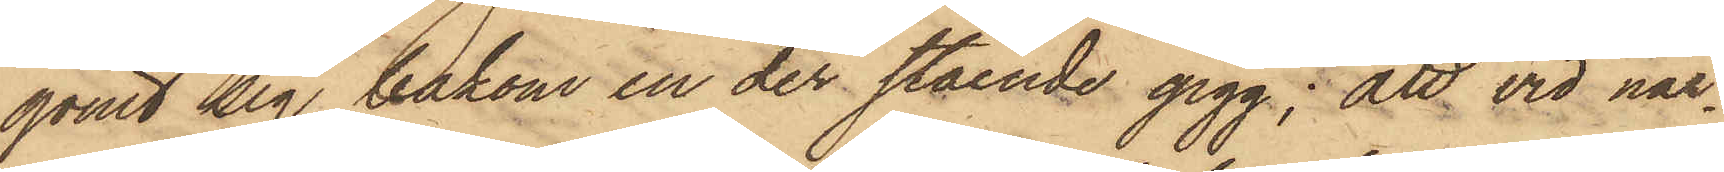gömt sig bakom en der stående gigg; att vid när¬
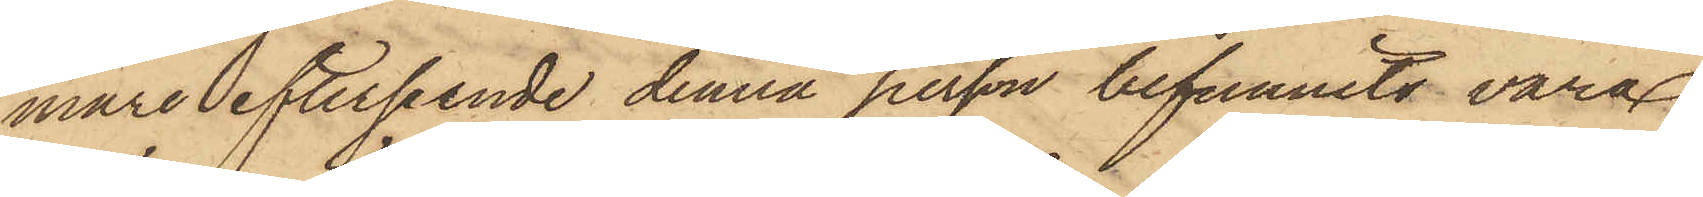mare efterseende denna person befunnits vara
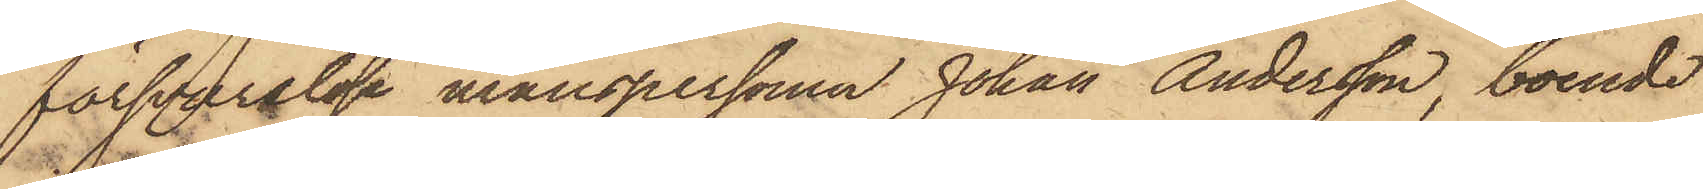försvarslöse manspersonen Johan Andersson, boende
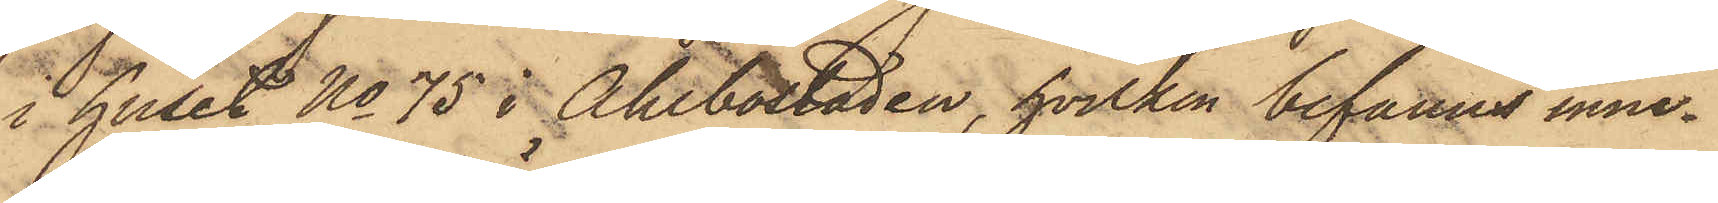i huset No 75 i Ahlbostaden, hvilken befanns inne¬
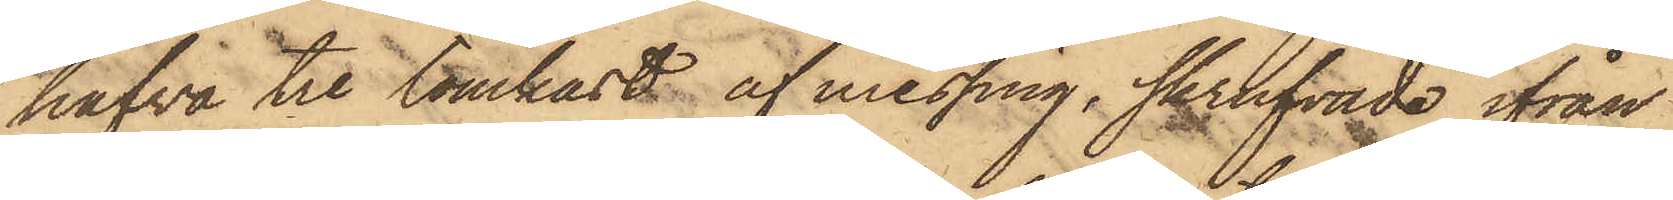hafva tre tömkast af messing, skrufvade ifrån
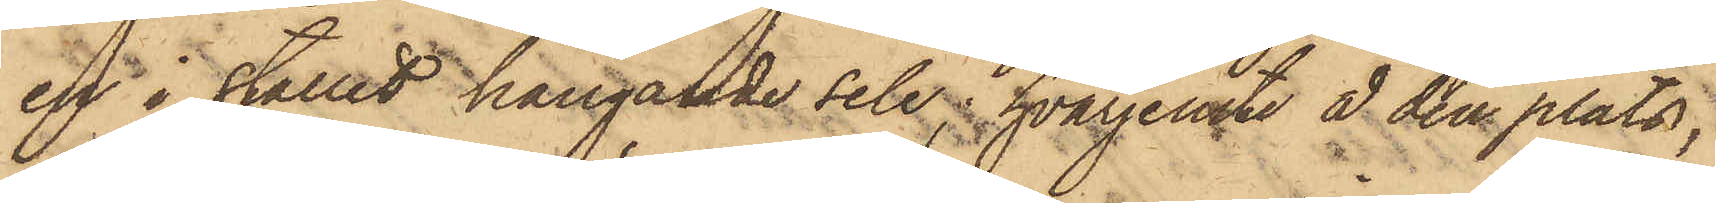en i stallet hängande sele, hvarjemte å den plats,
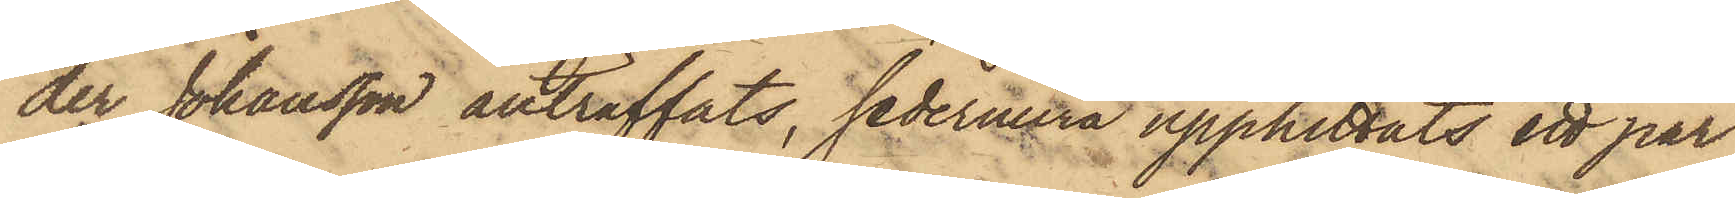der Johansson anträffats, sedermera upphittats ett par
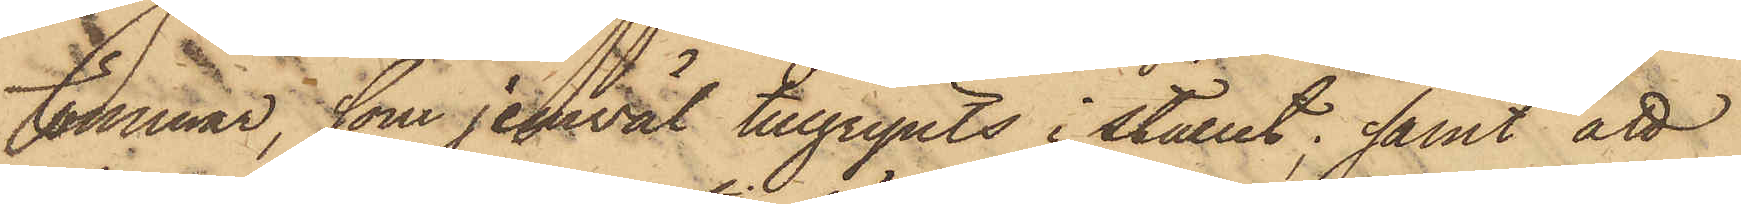tömmar, som jemväl tillgripits i stallet; samt att
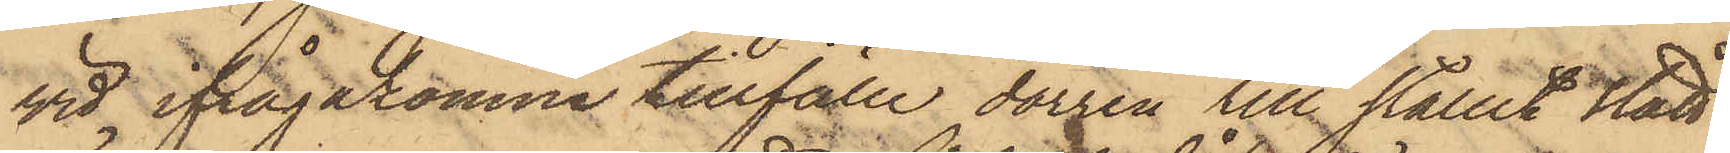vid ifrågakomne tillfälle dörren till stallet stått
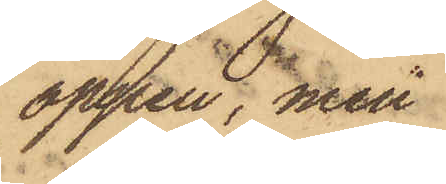öppen, men
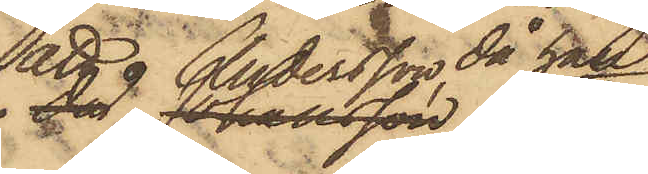att Andersson, då han
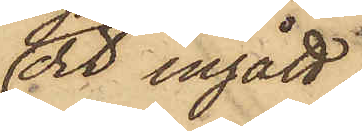dit ingått,
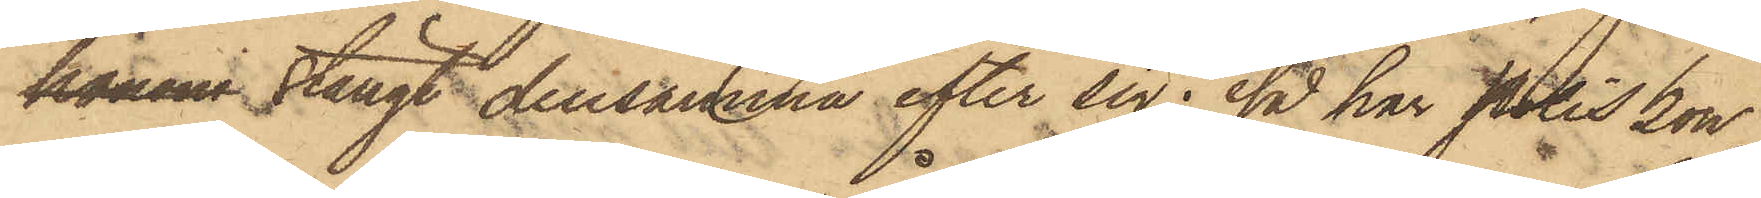honom stängt densamma efter sig; så har Poliskon¬
